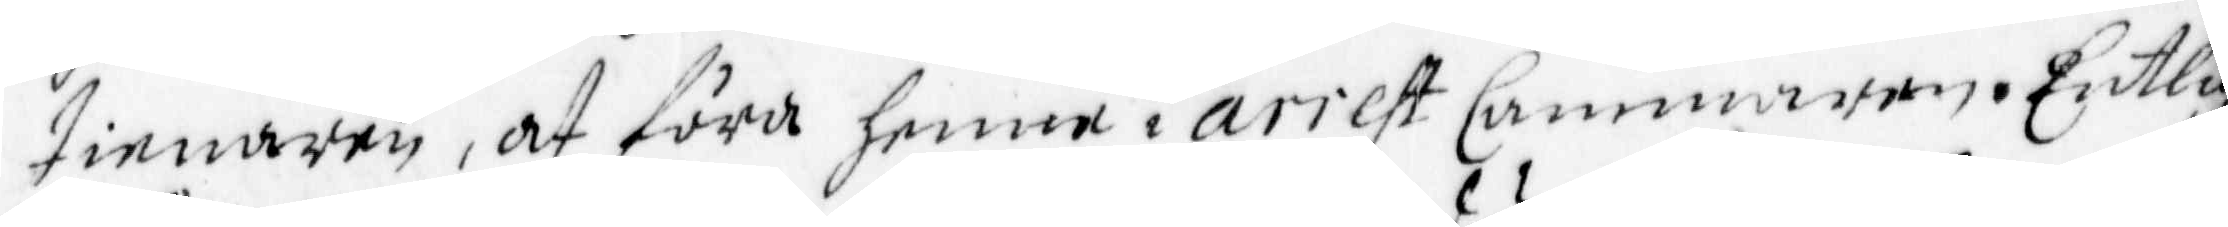tienaren, at föra henne i arrest Cammaren. Entlig
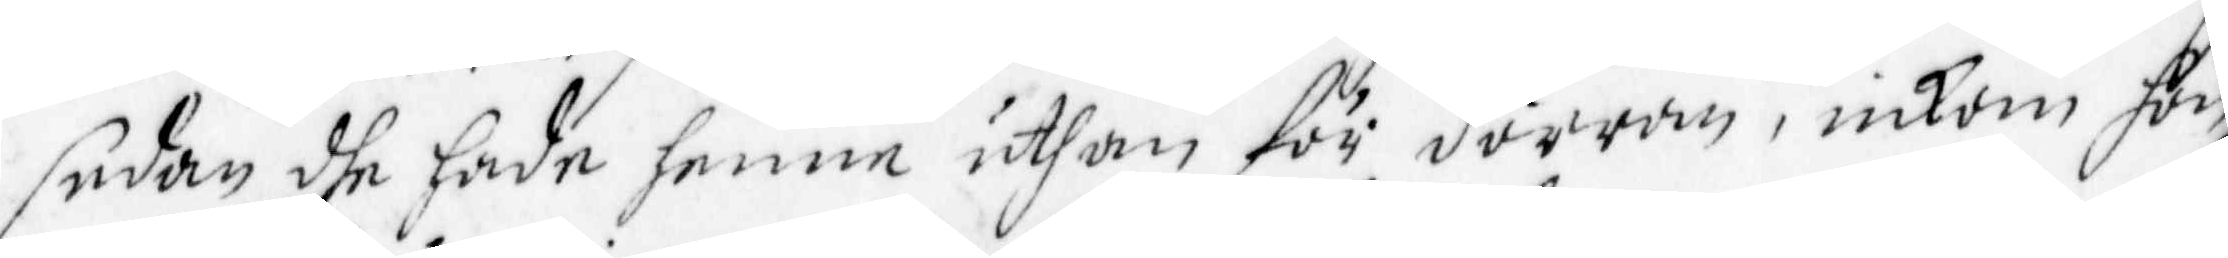sedan dhe hade henne uthan för dörran, inkom hon
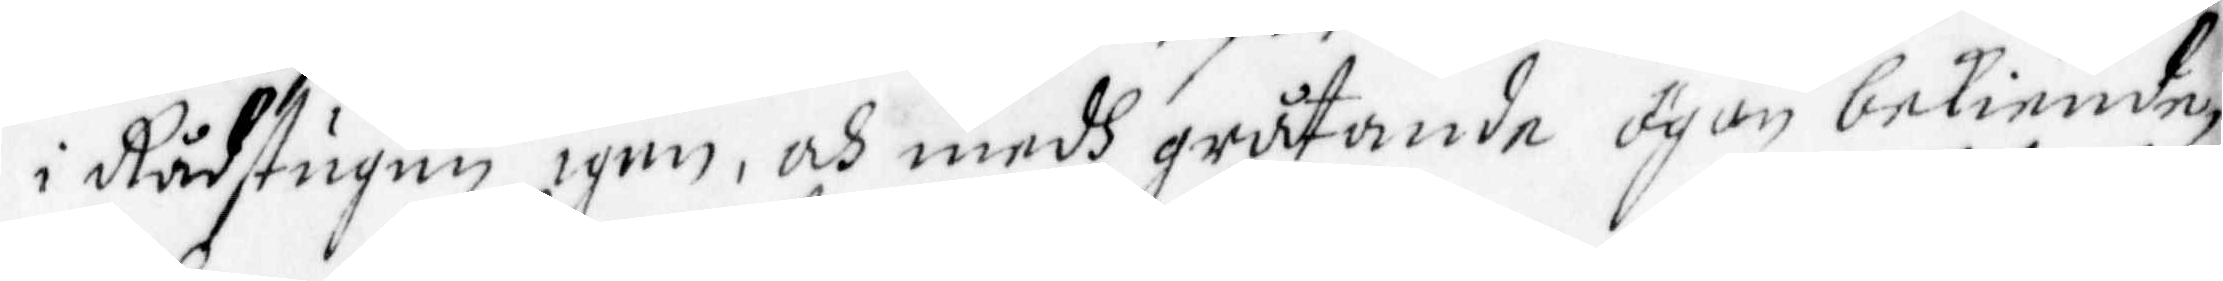i Rådstugun igen, och medh gråtande ögon bekiende,
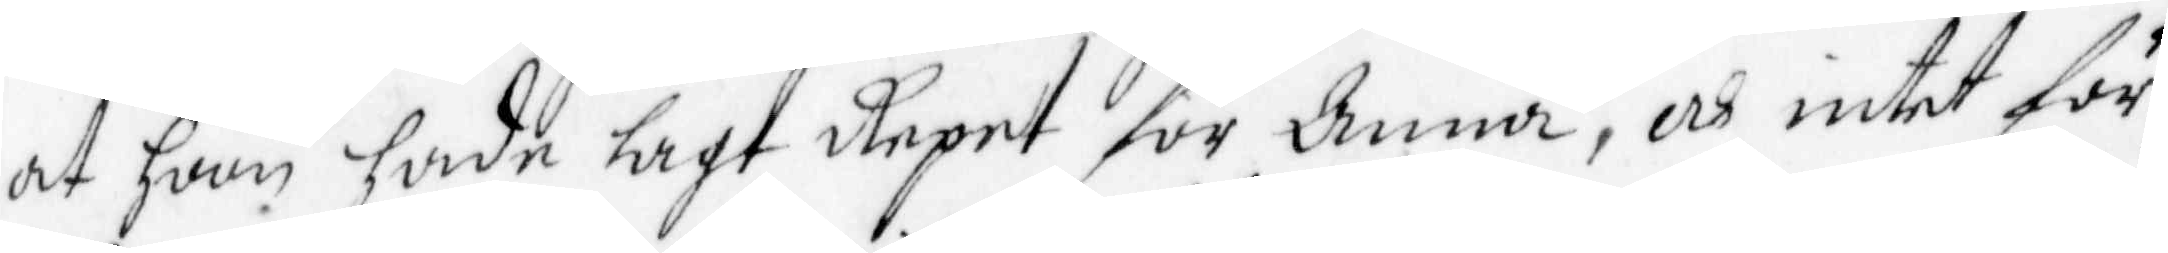at hon hade lagt Repet för Anna, och intet för
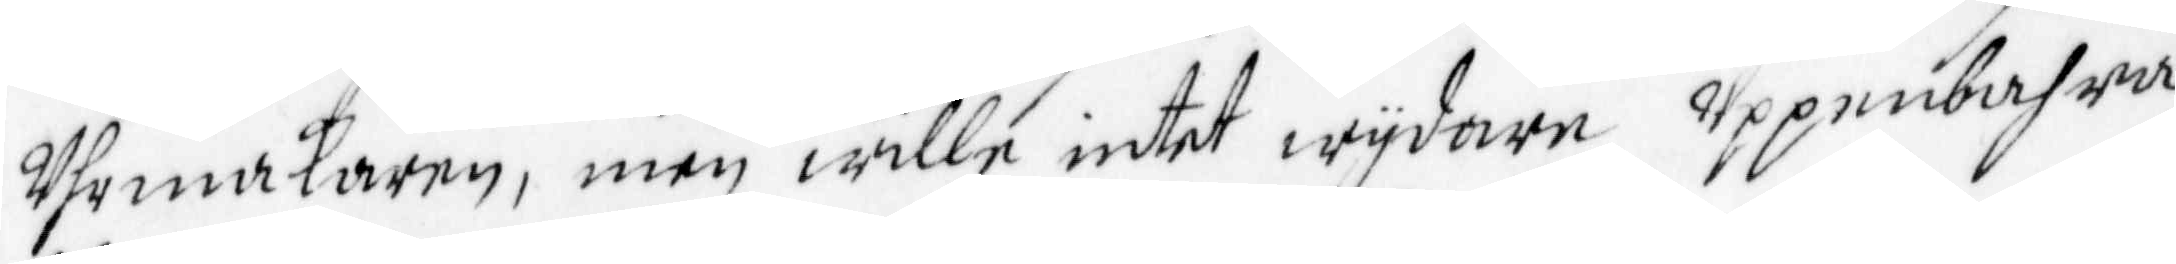Uhrmakaren, men wille intet wydare Uppenbahra
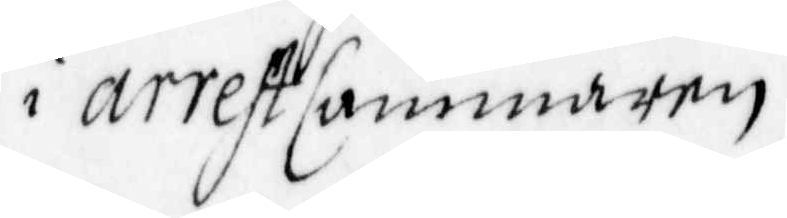i arrest Cammaren
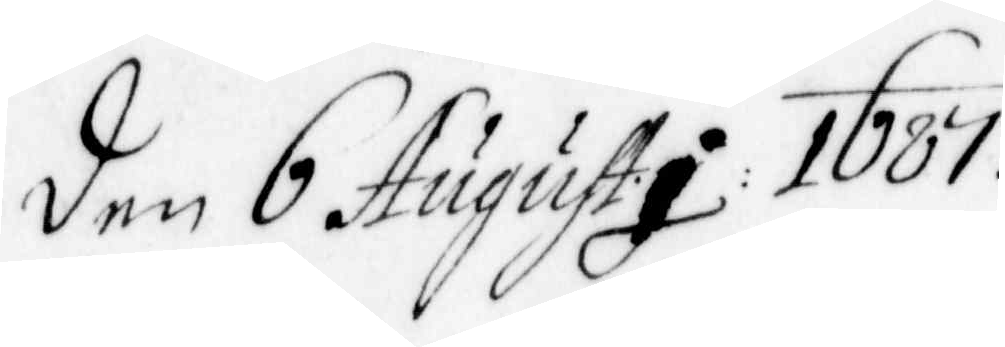den 6 Augusti 1687.
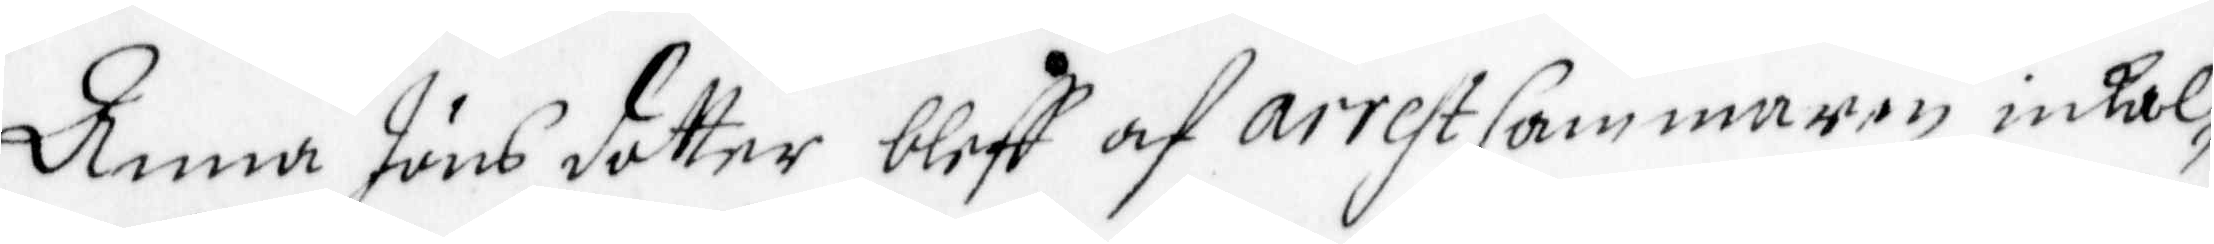Anna Jöns dotter bleff af arrest Cammaren inkal¬
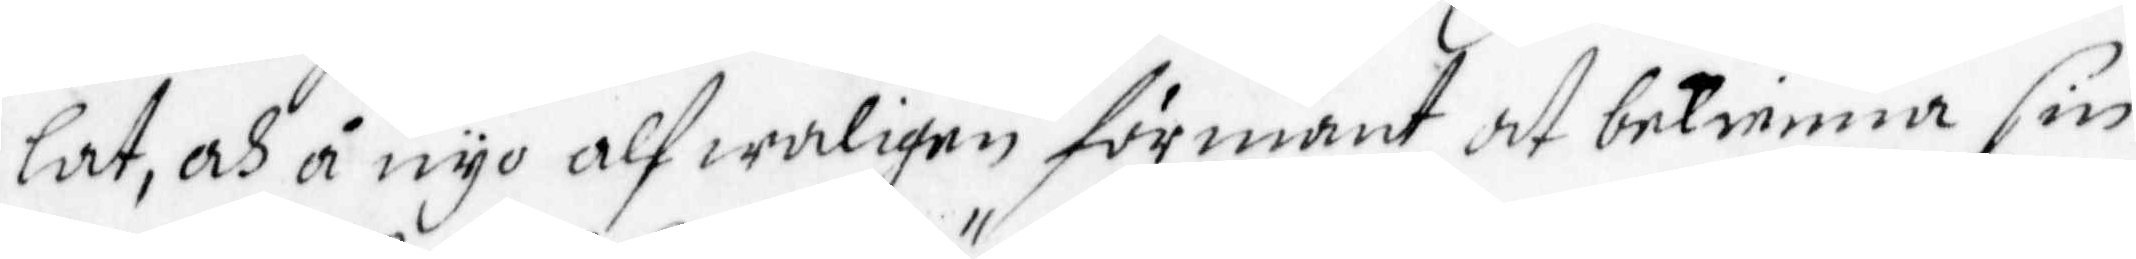lat, och å nyo alfwaligen förmant att bekienna sin
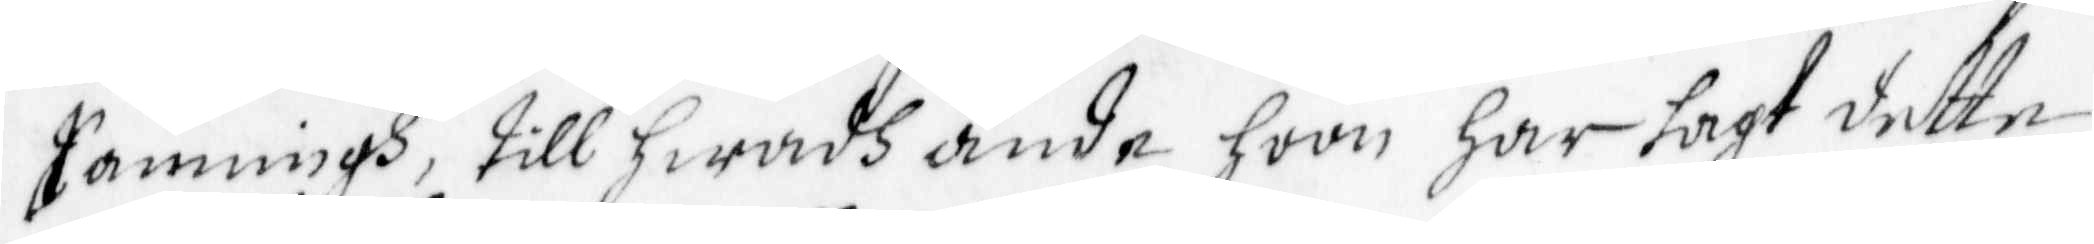Sanningh, till hwadh ände hoon har lagt dette
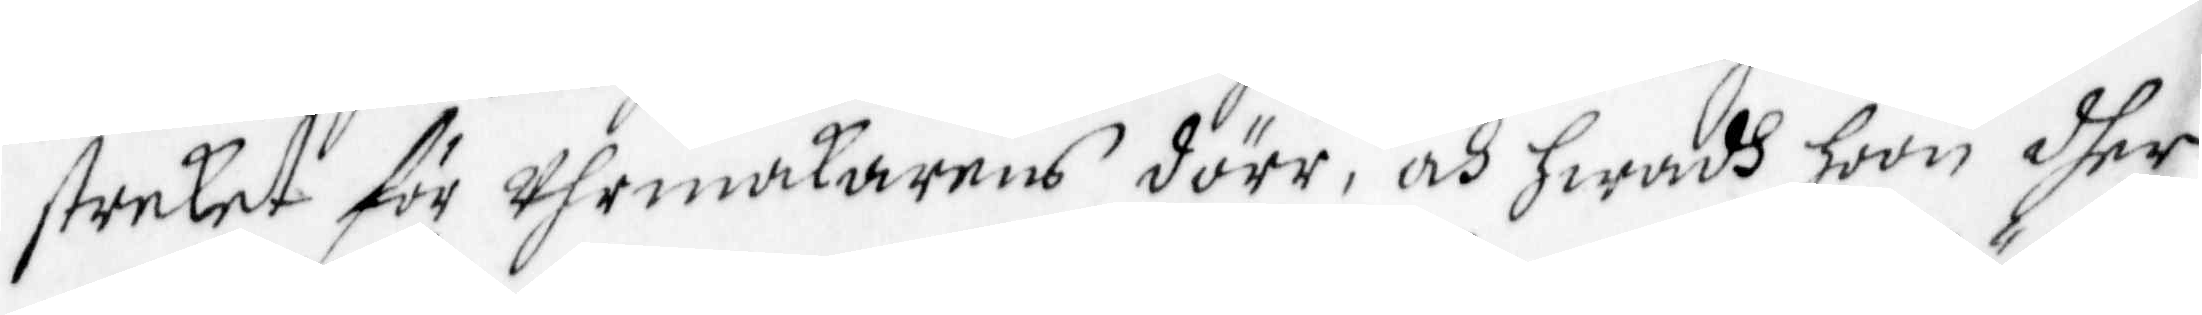streket för Uhrmakarens dörr, och hwadh hoon dher
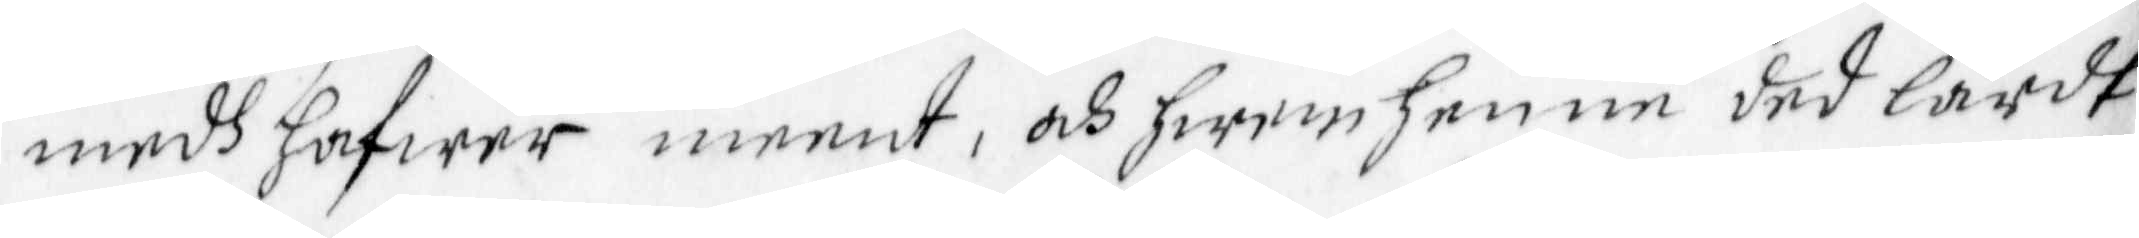medh hafwer meent, och hwem henne ded lärdt
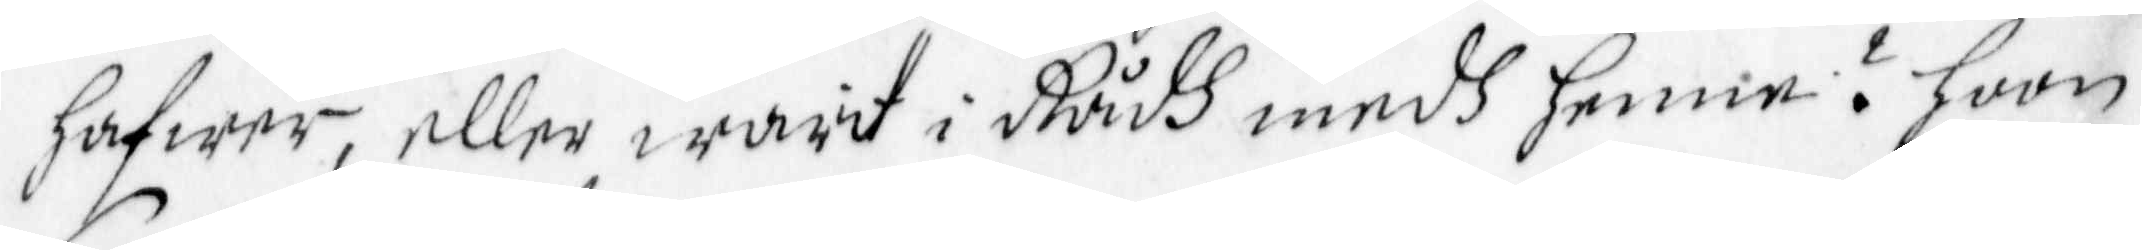hafwer, eller warit i Rådh medh henne? hoon
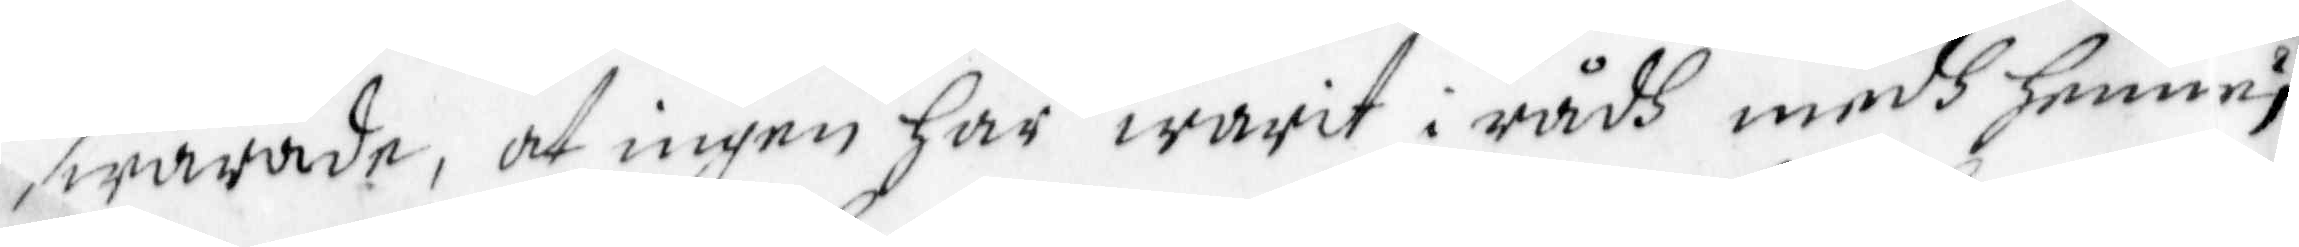swarade, at ingen Har warit i rådh medh henne;
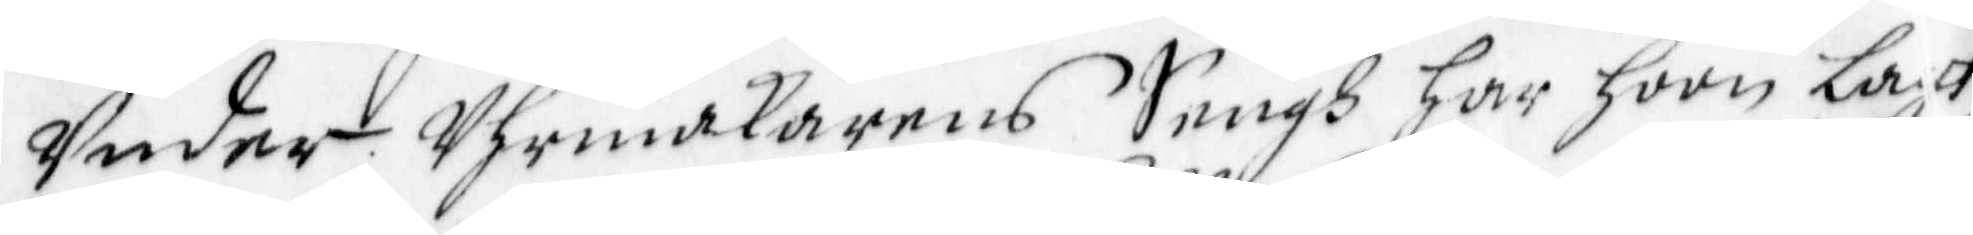Under Uhrmakarens Sengh Har hoon Lagt
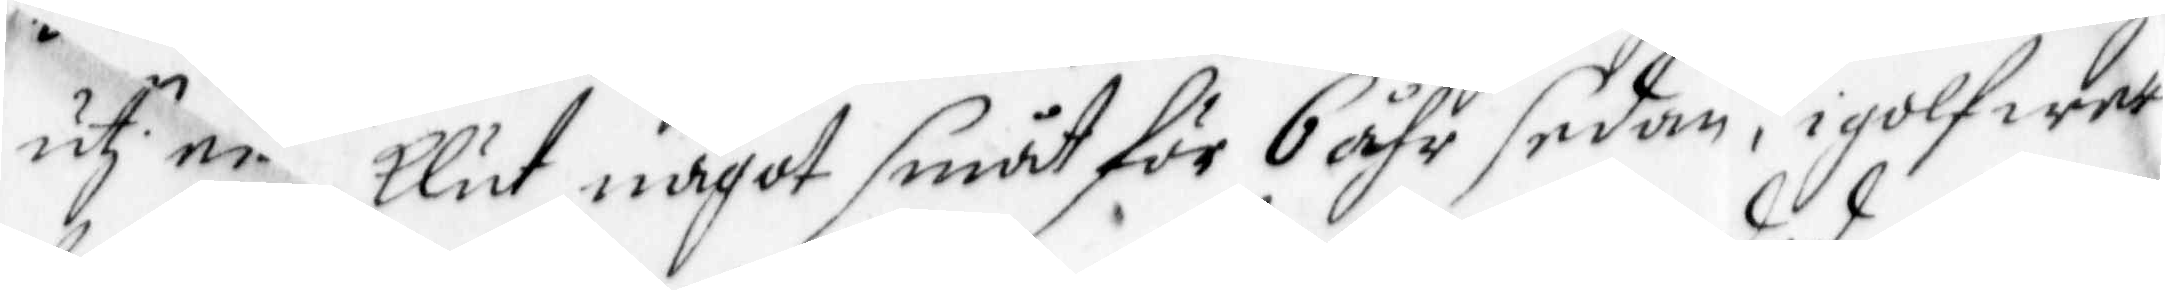ut en klut något småt för 6 åhr sedan, i golfwet
